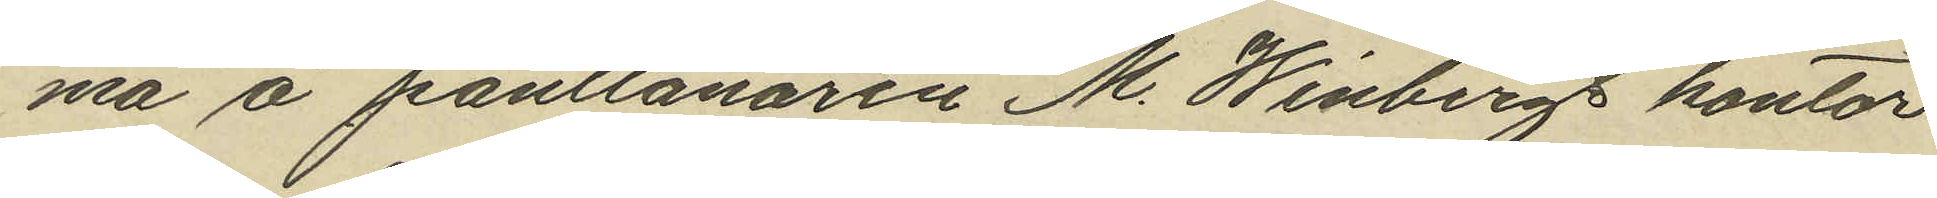ma å pantlånaren M. Winbergs kontor
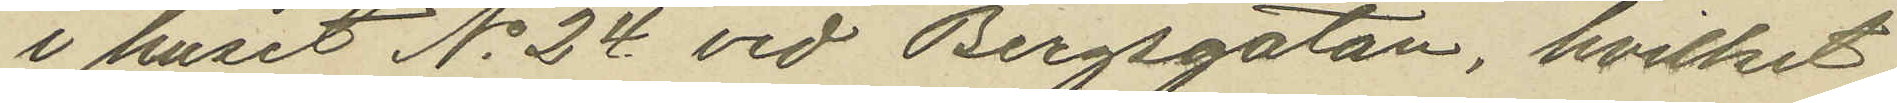i huset No 24 vid Bergsgatan, hvilket
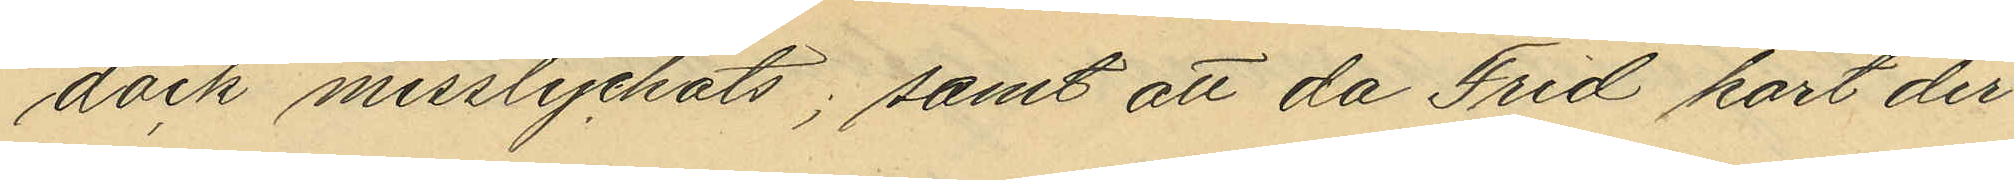dock misslyckats; samt att då Frid kort der¬
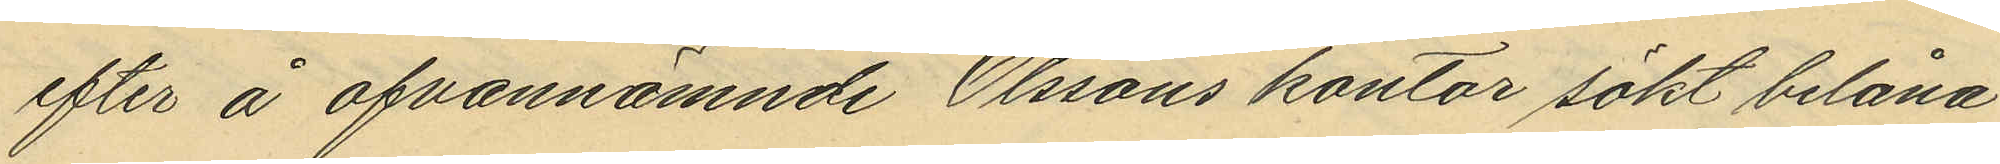efter å ofvannämnde Olssons kontor sökt belåna
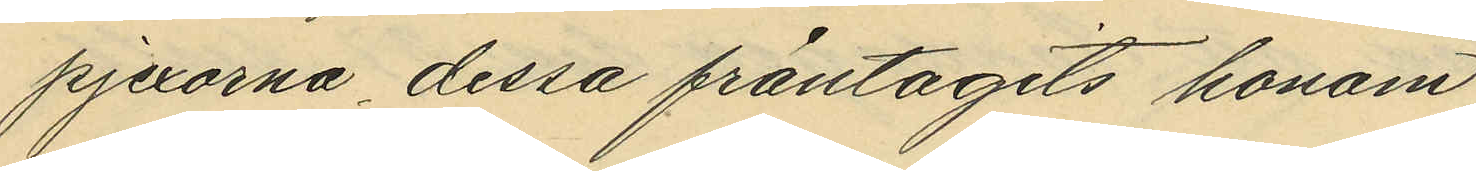pjexorna dessa fråntagits honom.
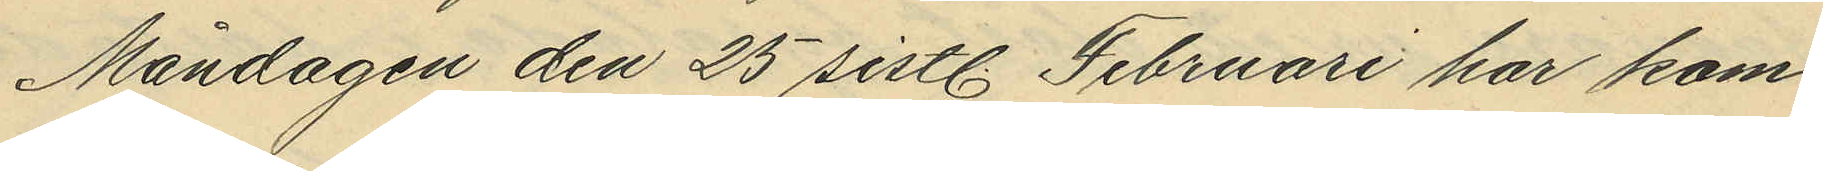Måndagen den 25 sistl. Februari har kom¬
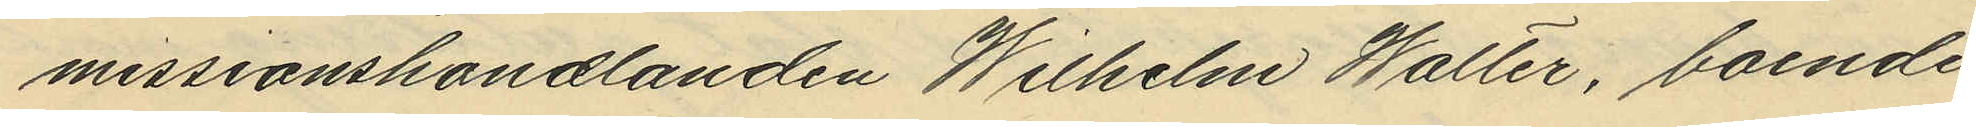missionshandlanden Wilhelm Walter, boende
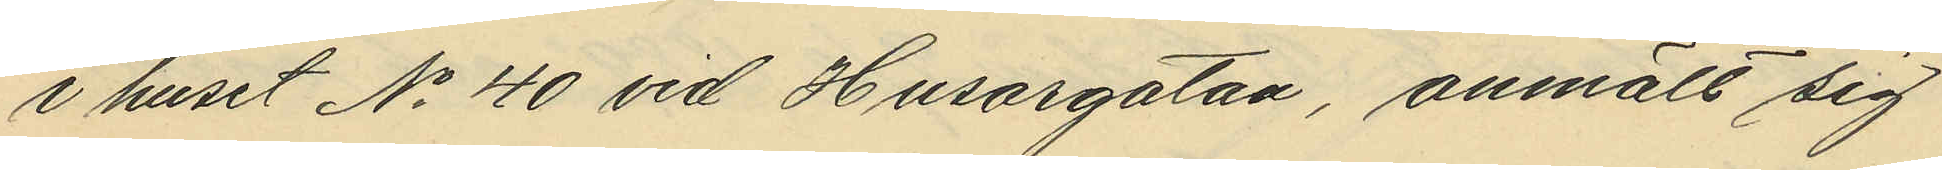i huset No 40 vid Husargatan, anmält sig
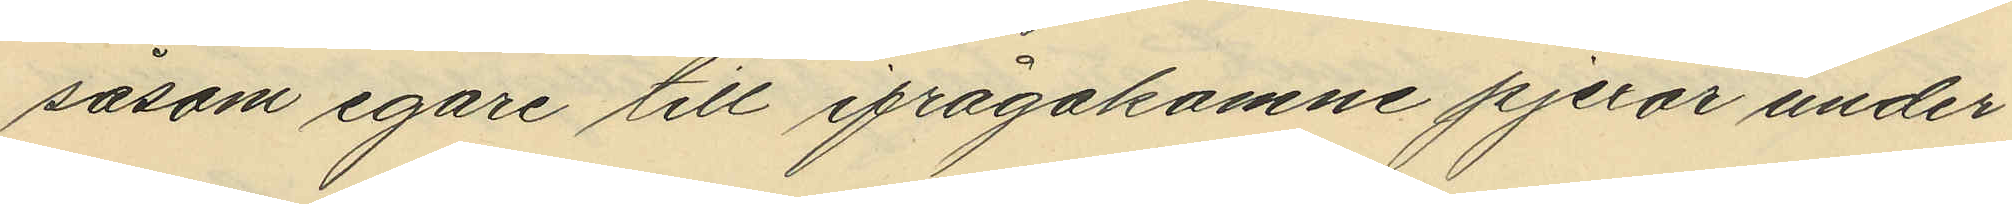såsom egare till ifrågakomne pjexor under
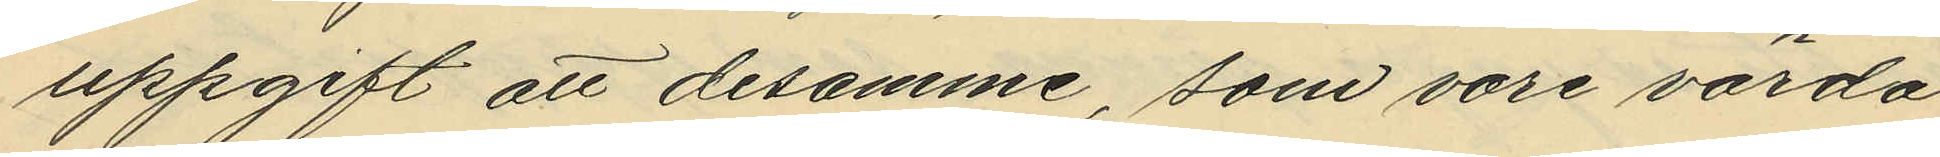uppgift att desamme, som vore värda
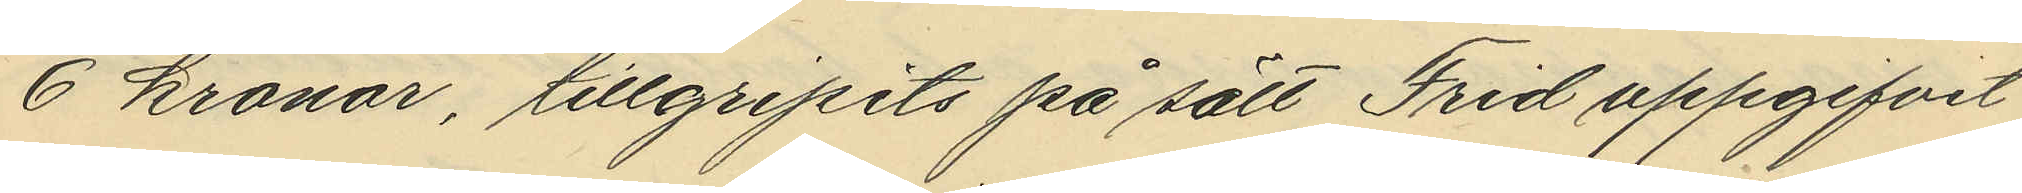6 kronor, tillgripits på sätt Frid uppgifvit.
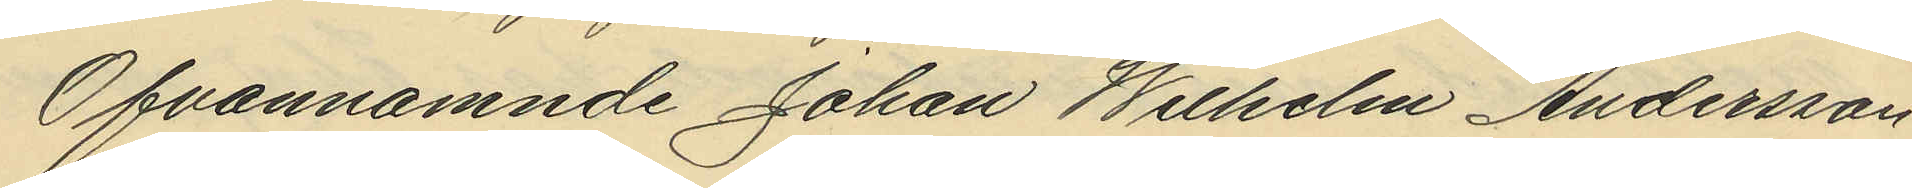Ofvannämnde Johan Wilhelm Andersson
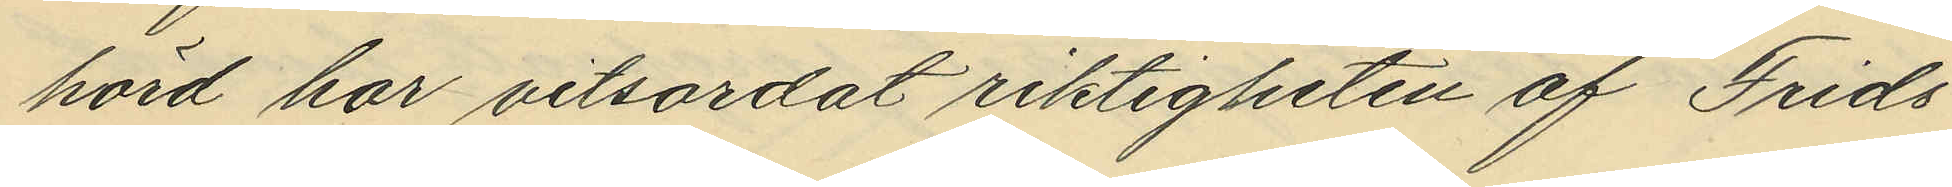hörd har vitsordat riktigheten af Frids
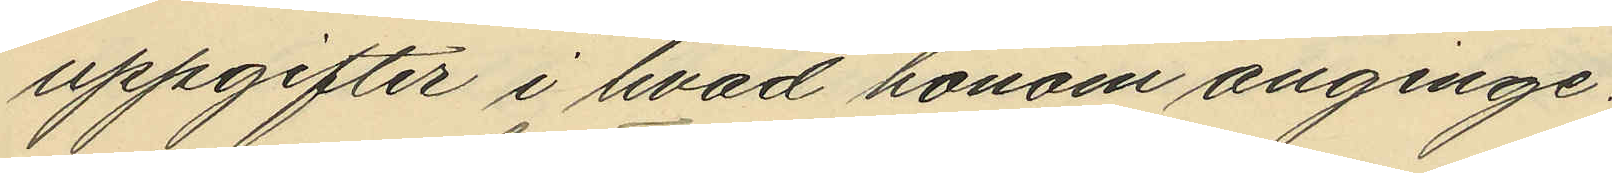uppgifter i hvad honom anginge.
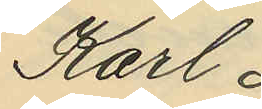Karl
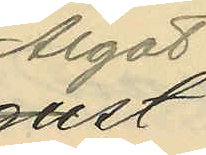Algot
